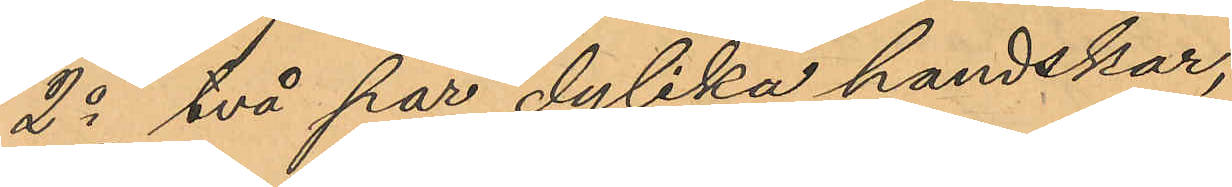2o två par dylika handskar,
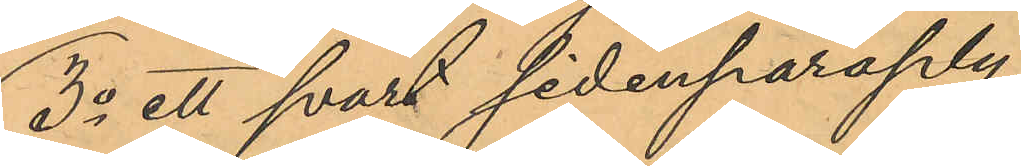3o ett svart sidenparaply,
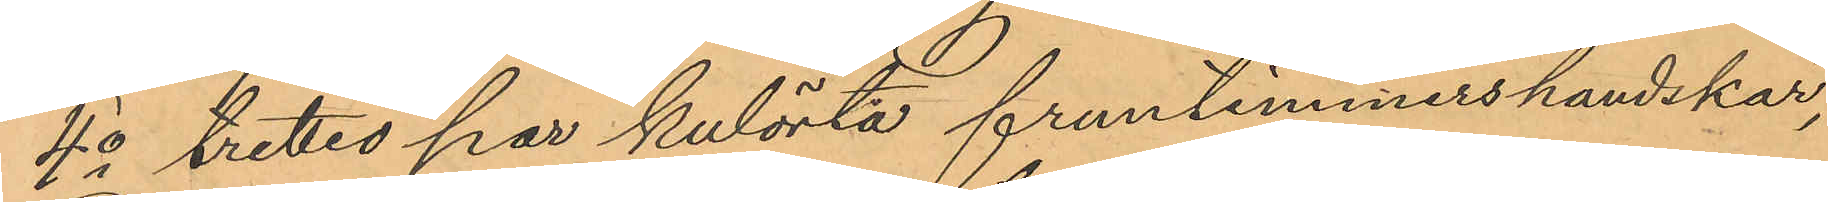4o trettio par kulörta fruntimmershandskar,
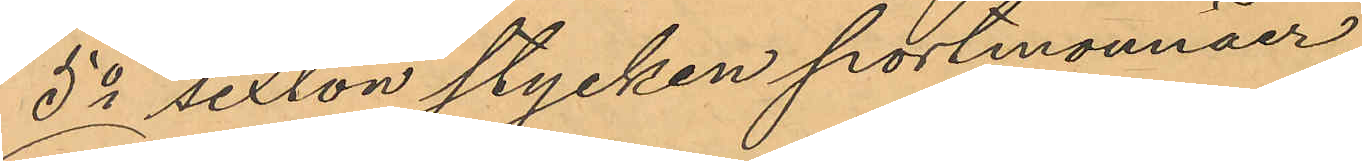5o sexton stycken portmonnäer,
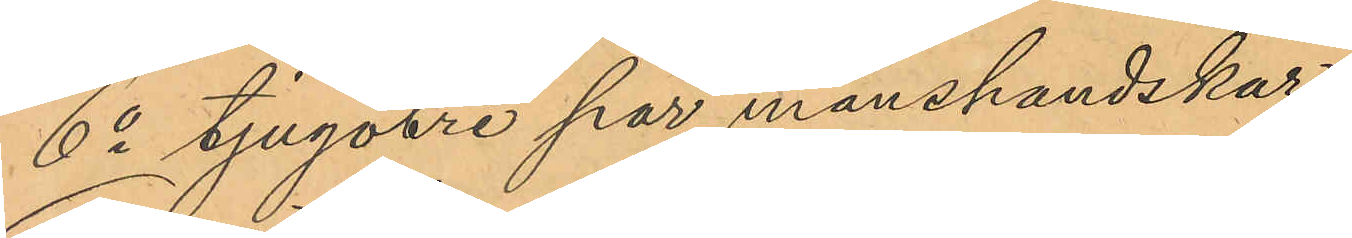6o tjugotre par manshandskar,
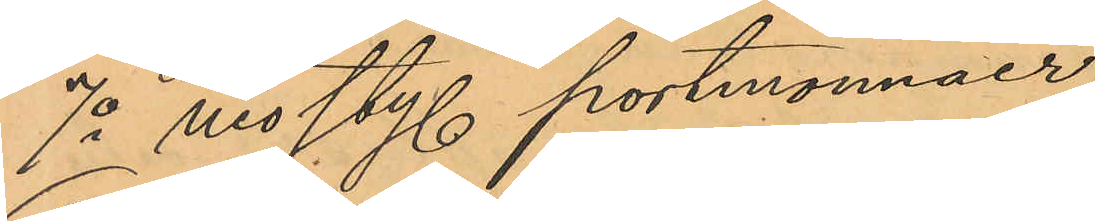7o nio sty. portmonnäer,
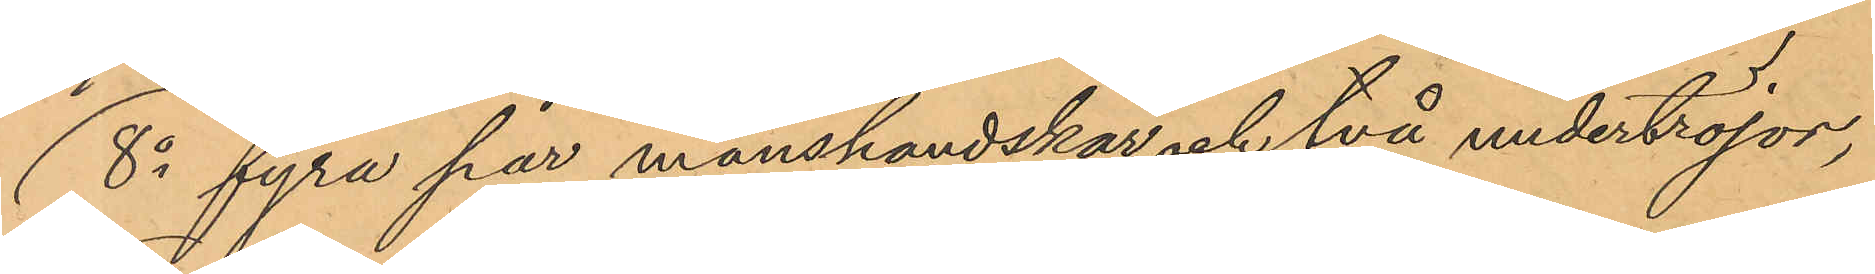8o fyra par manshandskar och två undertröjor,
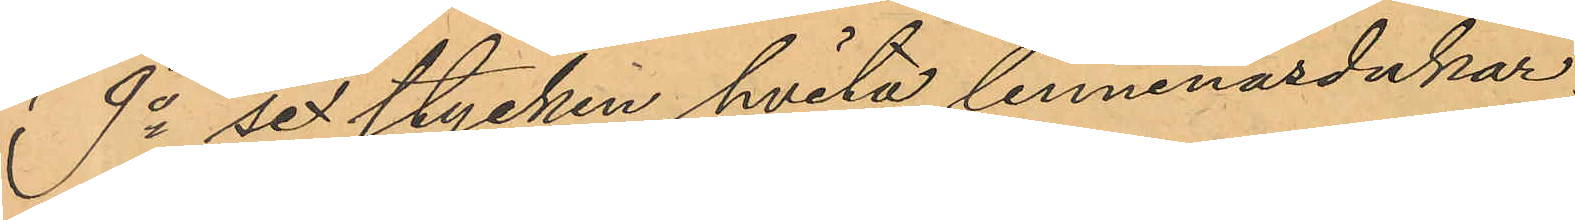9o sex stycken hvita linnenäsdukar,
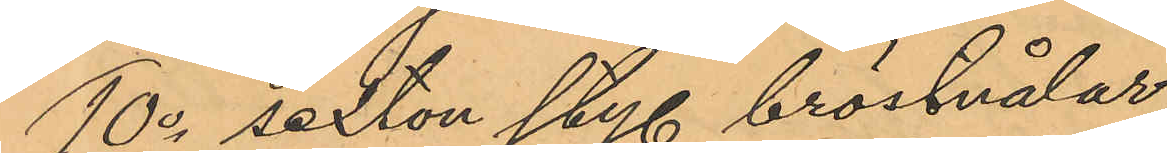10o sexton sty. bröstnålar,
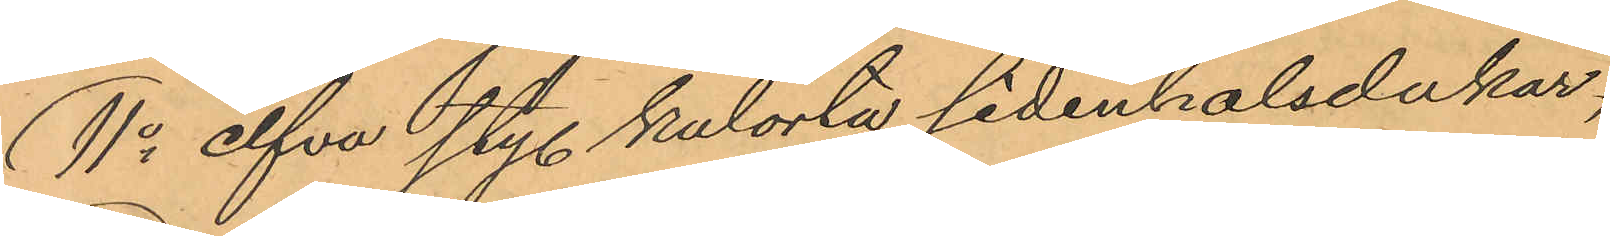11o elfva sty. kulörta sidenhalsdukar,
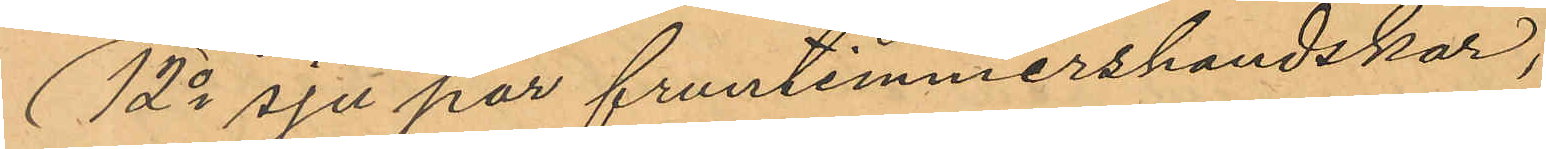12o sju par fruntimmershandskar,
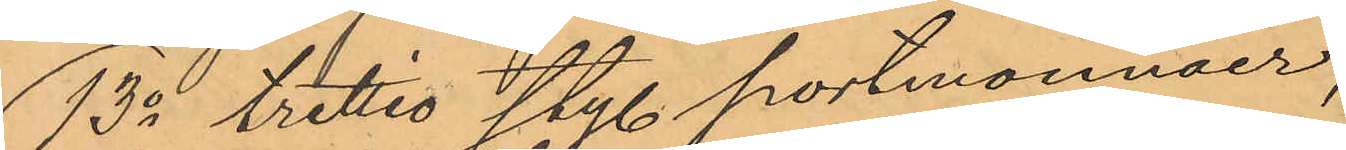13o trettio sty. portmonnäer,
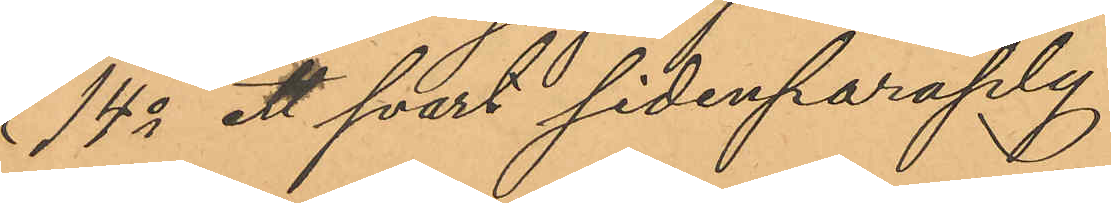14o ett svart sidenparaply,
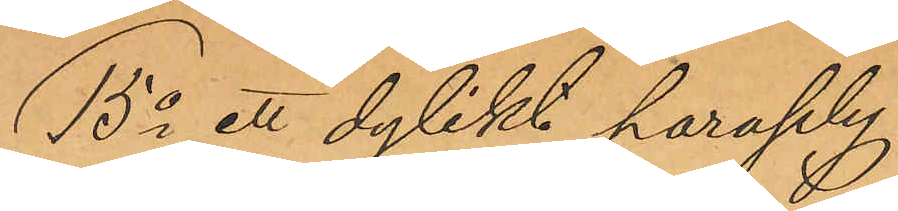15o ett dylikt paraply,
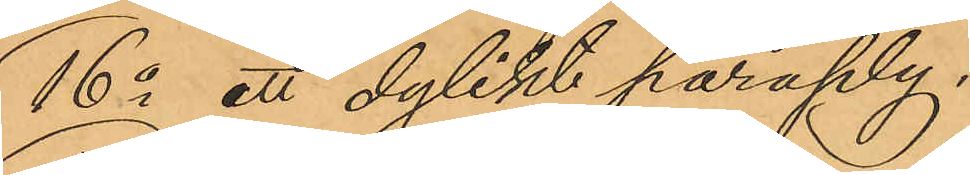16o ett dylikt paraply,
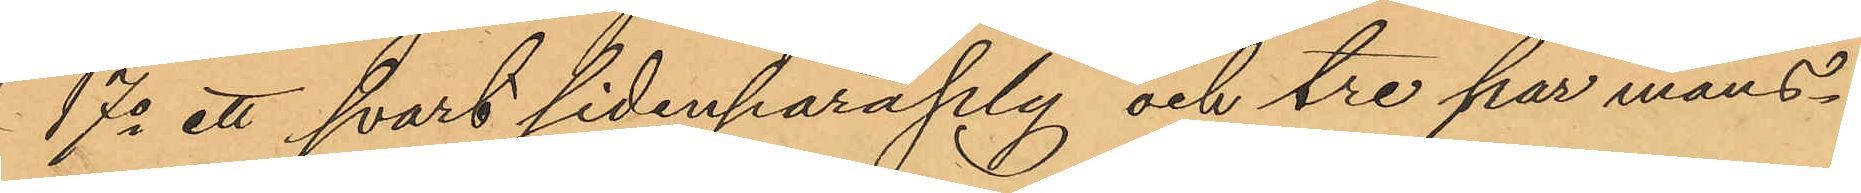17o ett svart sidenparaply och tre par mans¬
